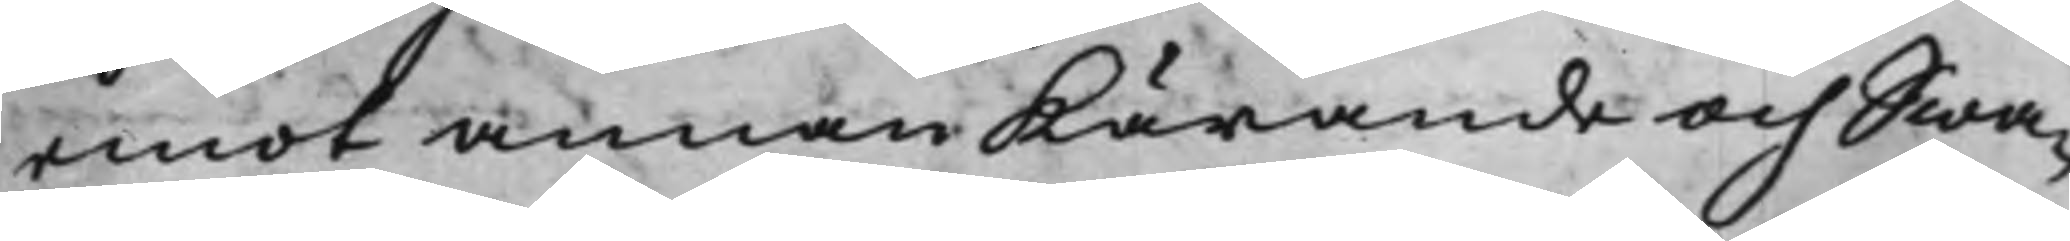emot annan Kärande och Swa¬
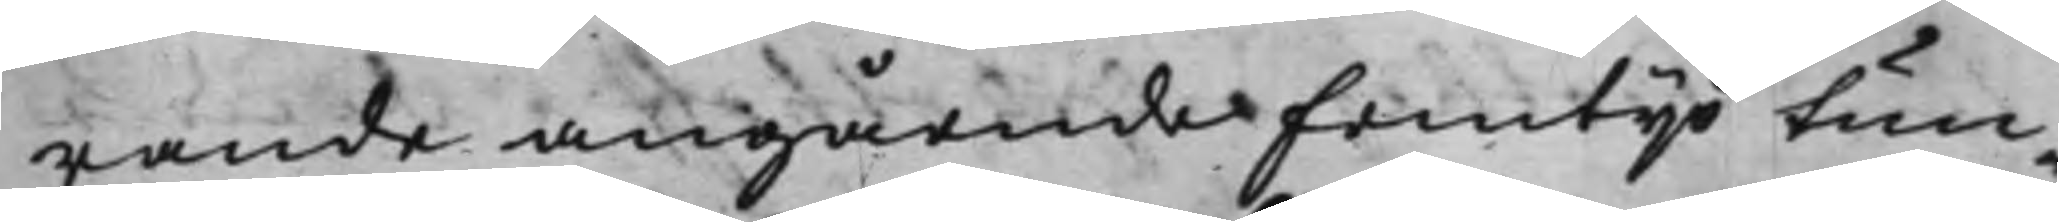rande angående Femtijo tun¬
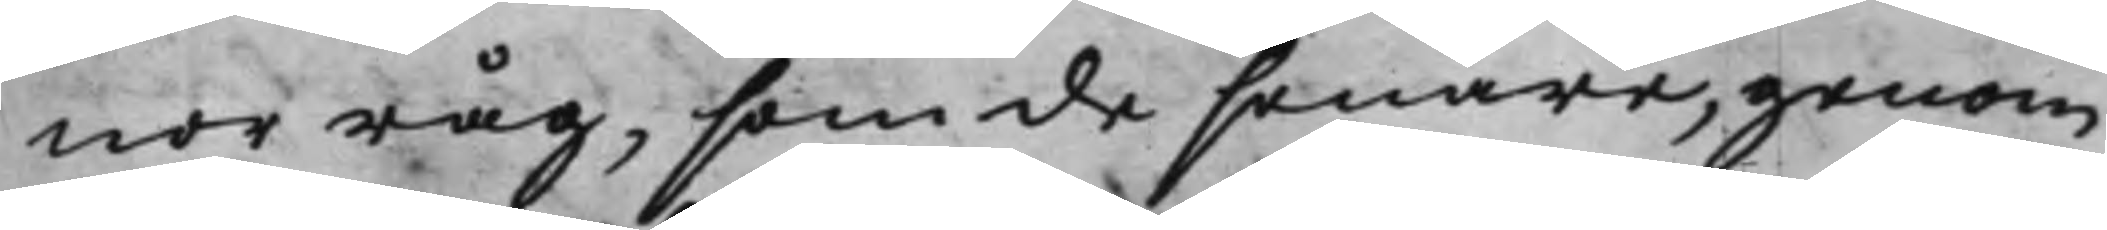nor råg, som de senare, genom
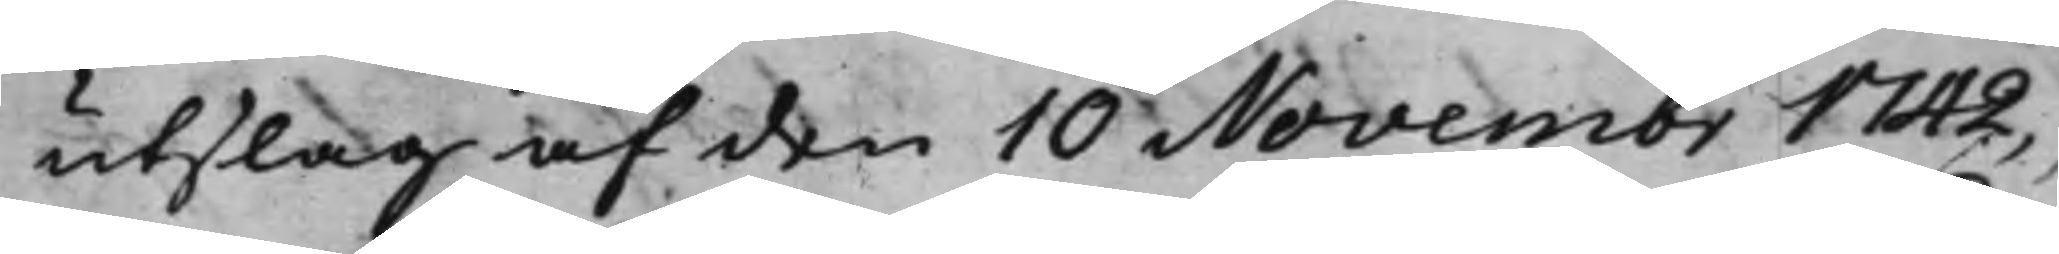utslag af den 10 Novembr 1742,
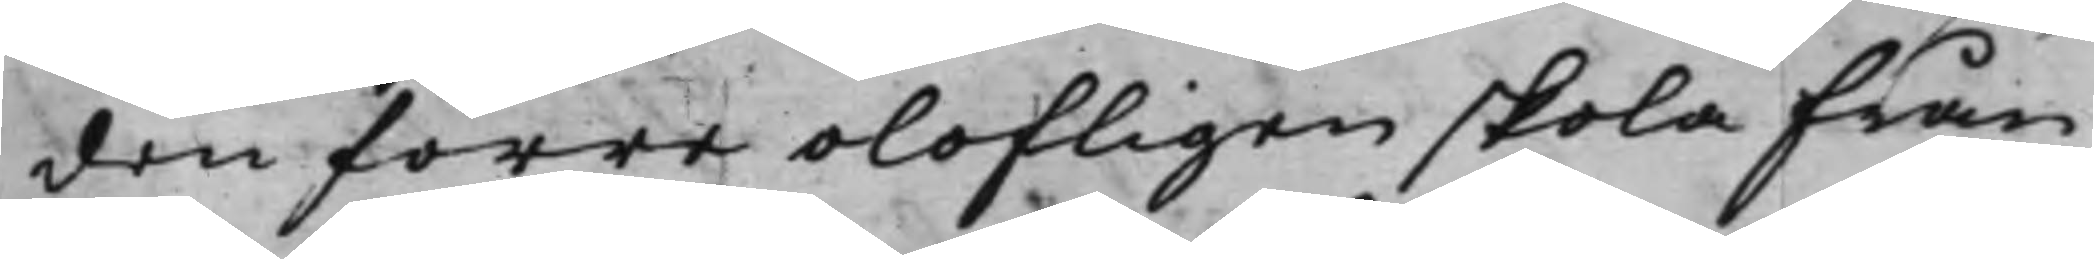den förre olofligen skola från¬
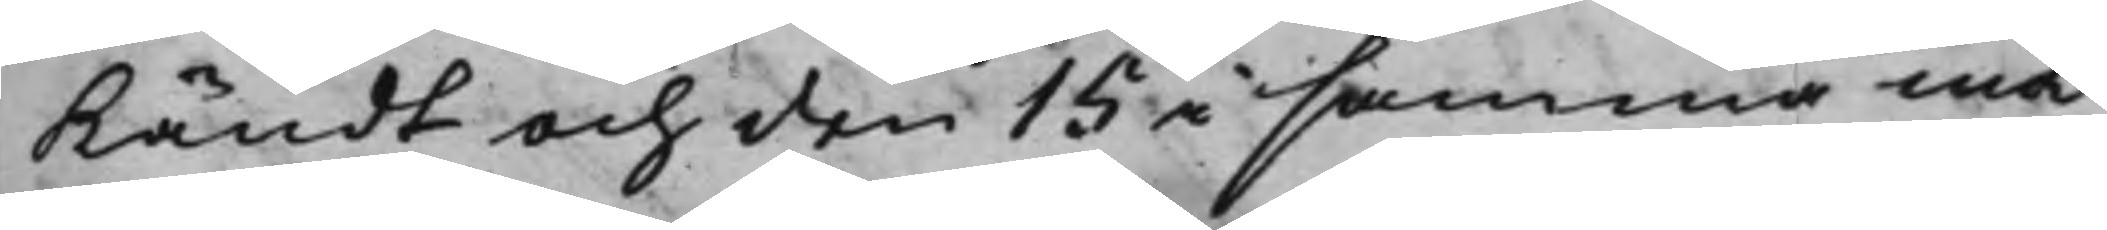kändt och den 15 i samma må¬
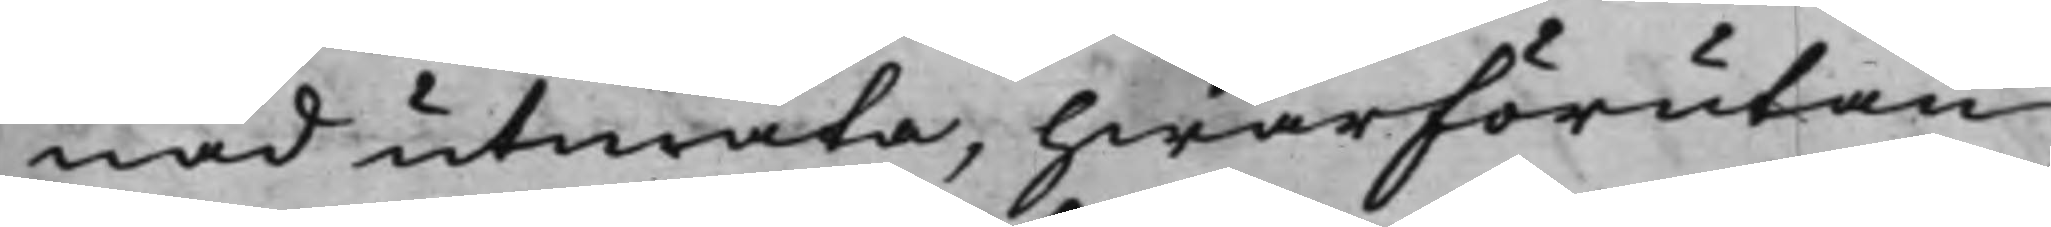nad utmäta, hwarförutan
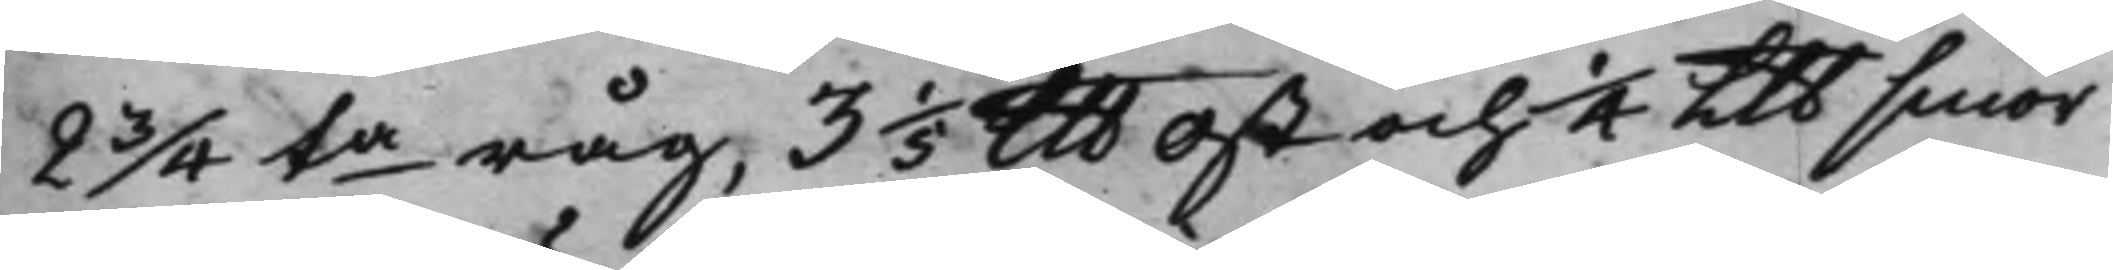2 3/4 ta råg, 3 1/5 Llb ost och 4 Llb smör
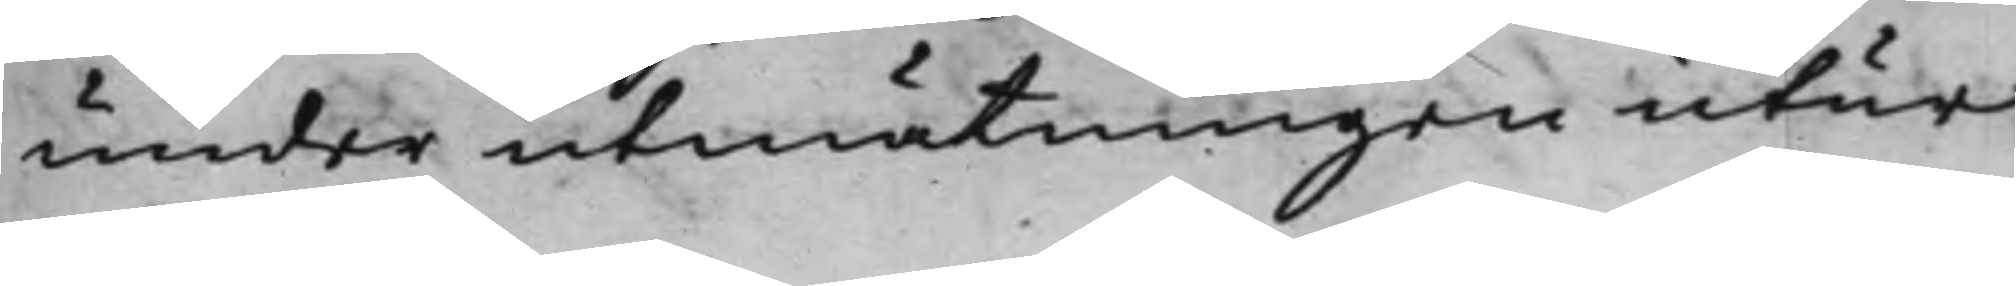under utmätningen utur
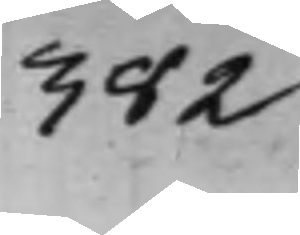382
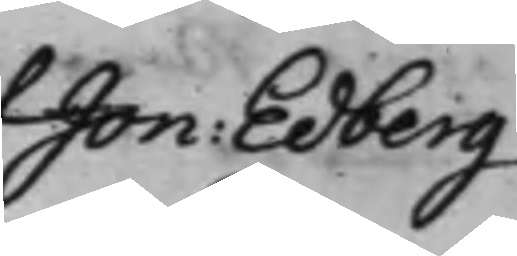Jon: Edberg
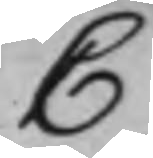C
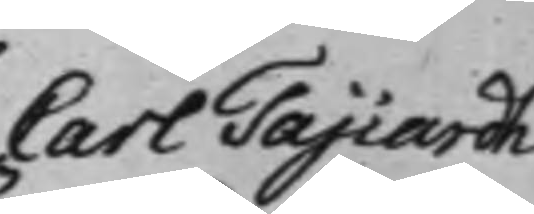Carl Tajiardh
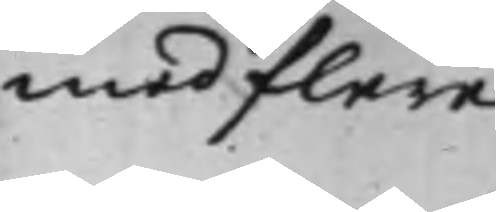med flere
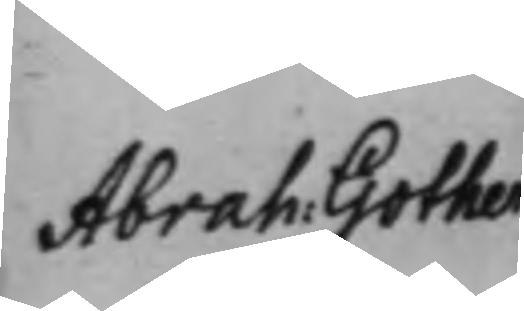Abrah. Gother
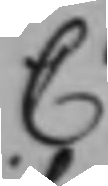C
